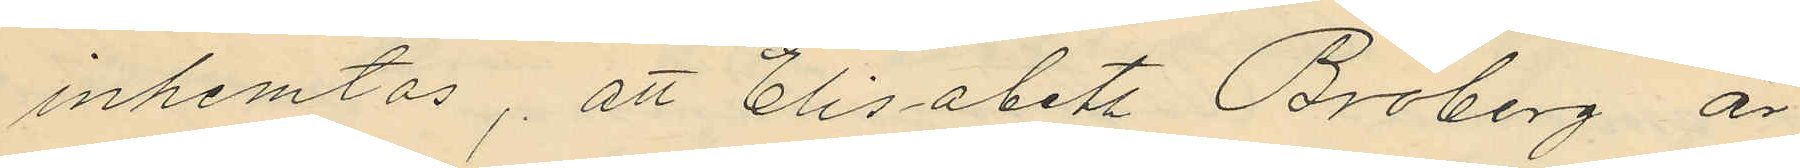inhemtas, att Elisabets Broberg är
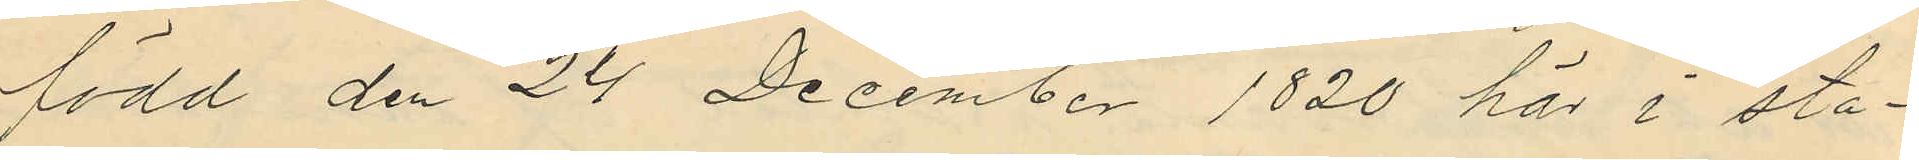född den 24 December 1820 här i sta¬
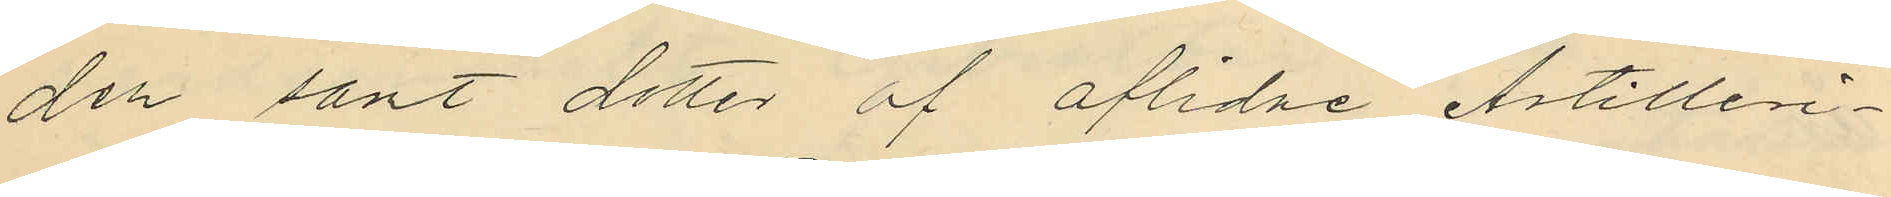den sant dotter af aflidne Artilleri¬
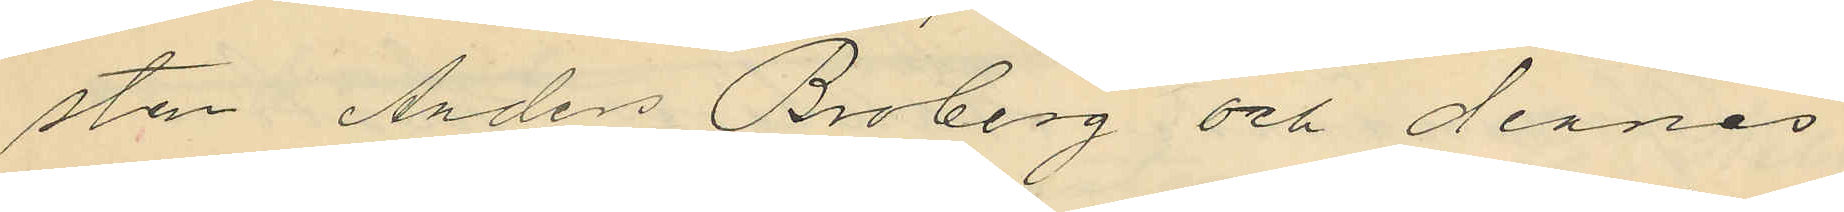sten Anders Broberg och dennes
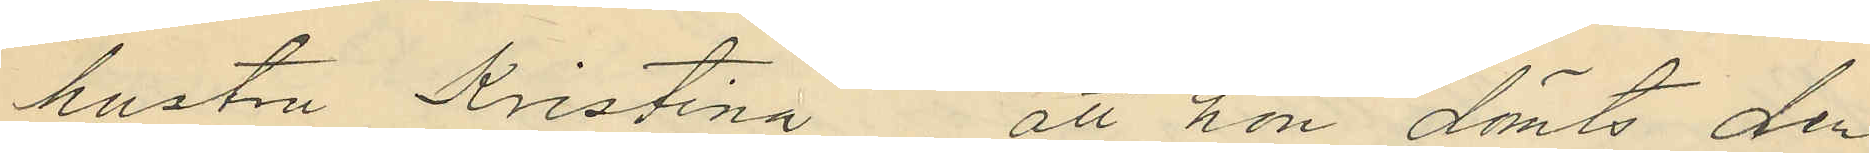hustru Kristina; att hon dömts den
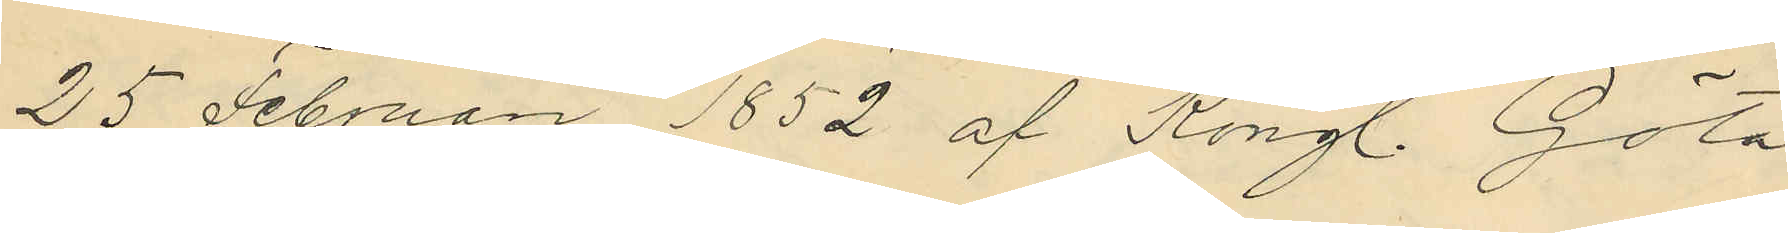25 Februari 1852 af Kongl. Göta
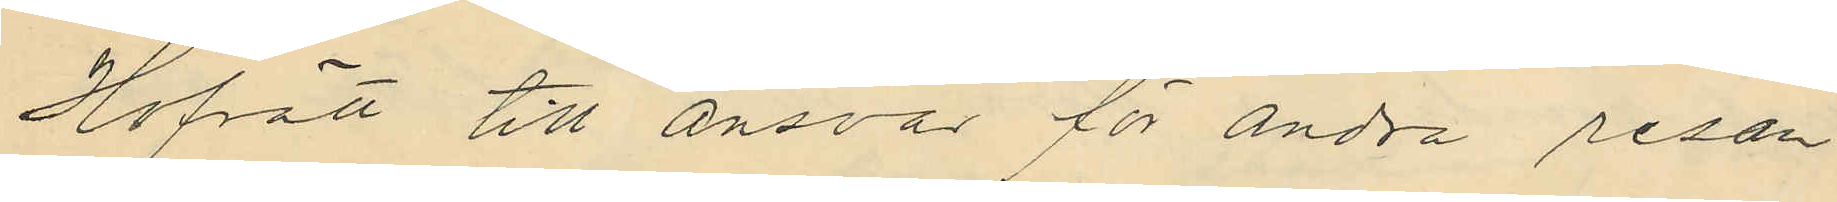Hofrätt till ansvar för andra resan
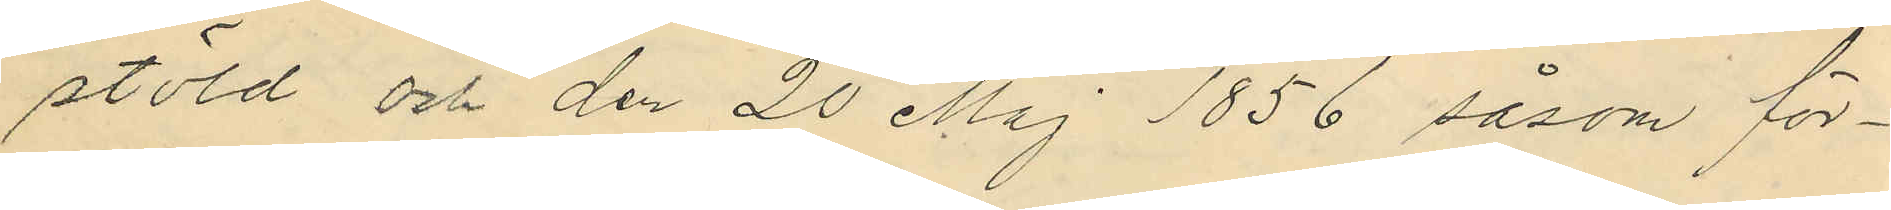stöld och den 20 Maj 1856 såsom för¬
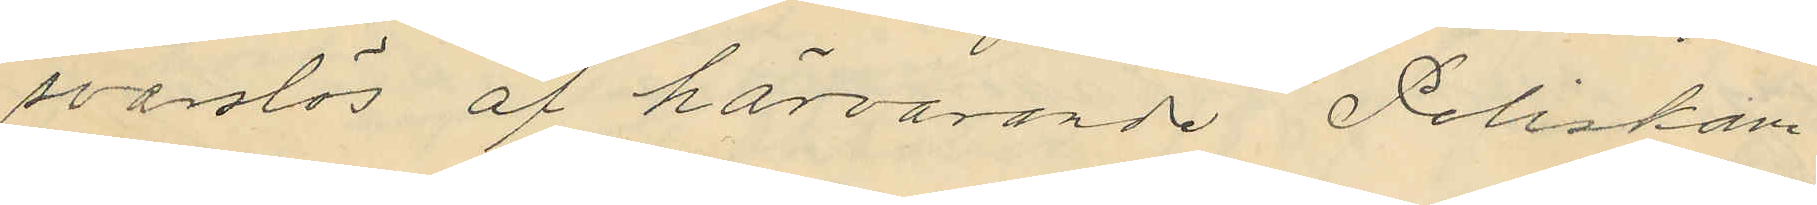svarslös af härvarande Poliskam
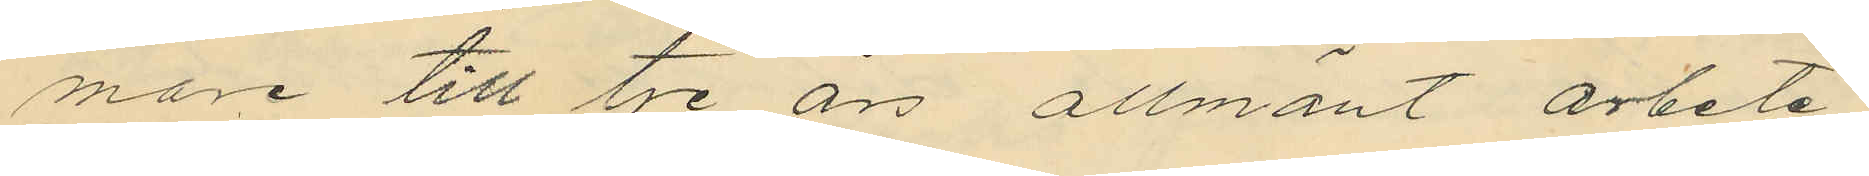mare till tre års allmänt arbete
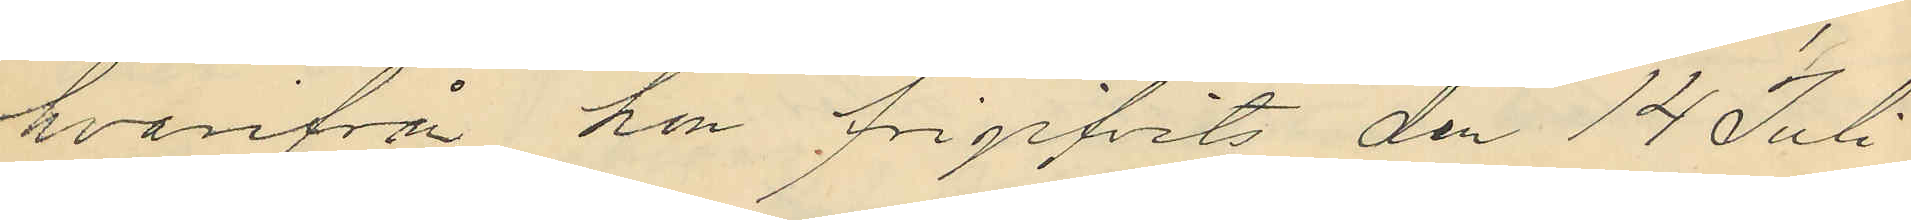hvarifrå hon frigifvits den 14 Juli
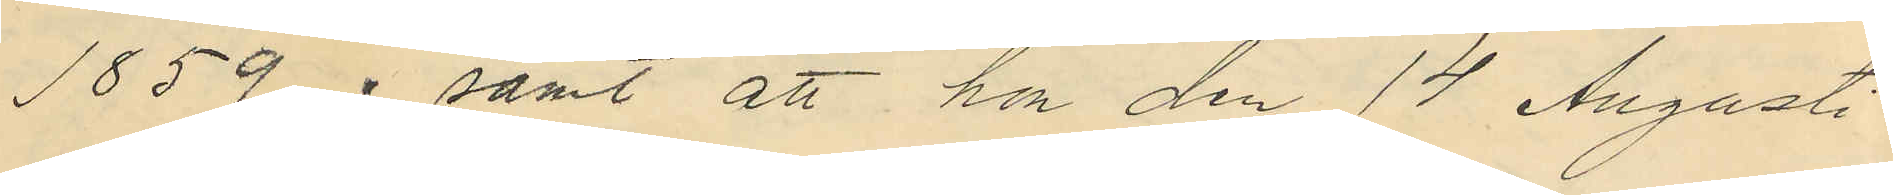1859; samt att hon den 14 Augusti
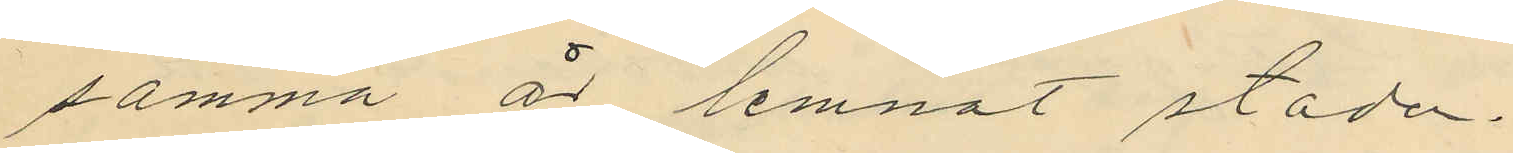samma är lemnat staden.
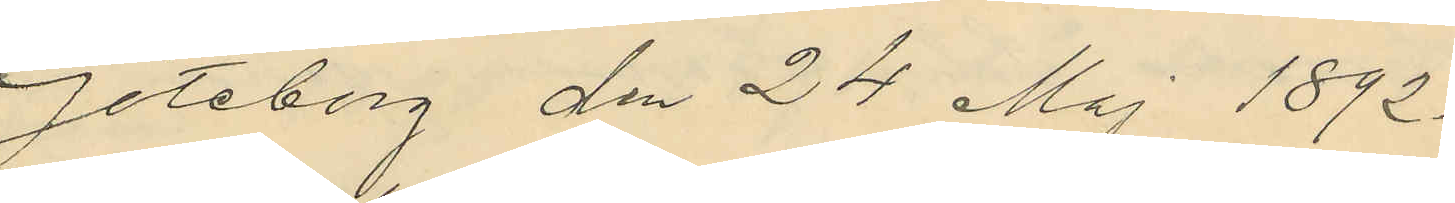Göteborg den 24 Maj 1892.
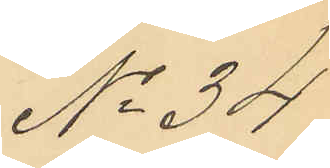No 34.
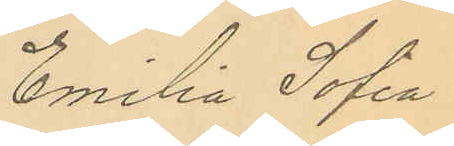Emilia Sofia
